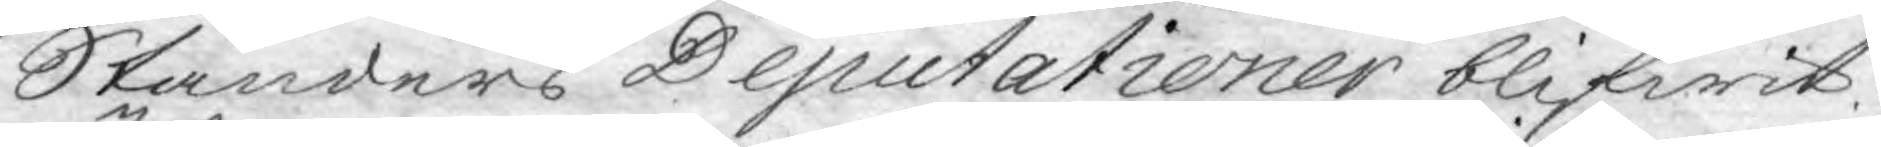Ständers Deputationer blifwit
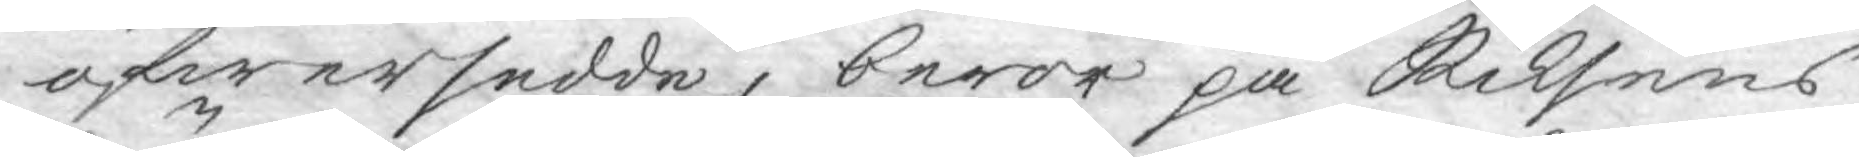öfwersedde, beror på Riksens
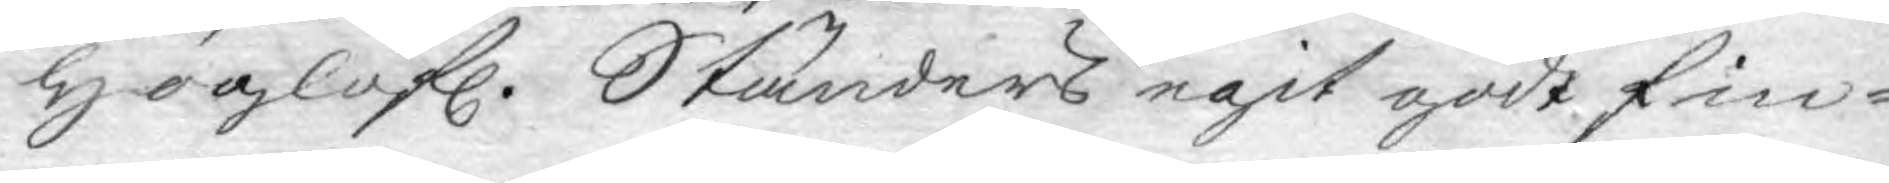Höglofl. Ständers egit godt fin¬
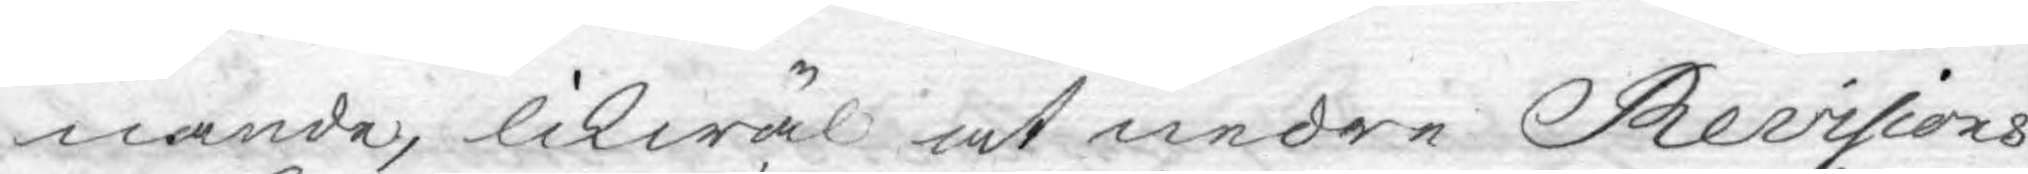nande, likwäl at nedre Revisions
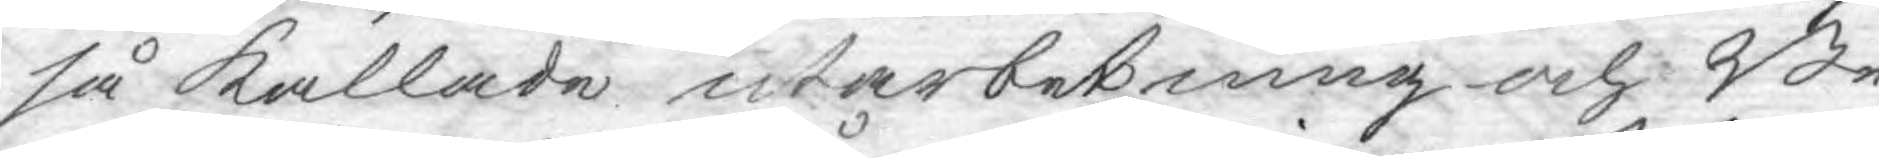så kallade utarbetning och Be¬
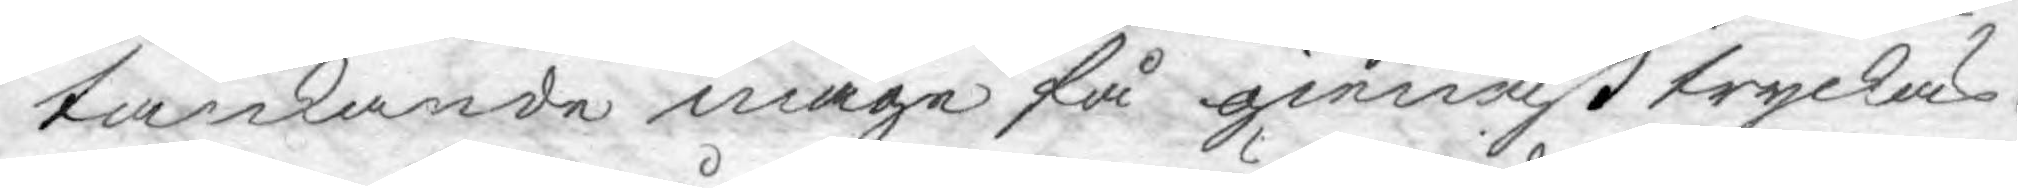tankande måge få gienast tryckas.
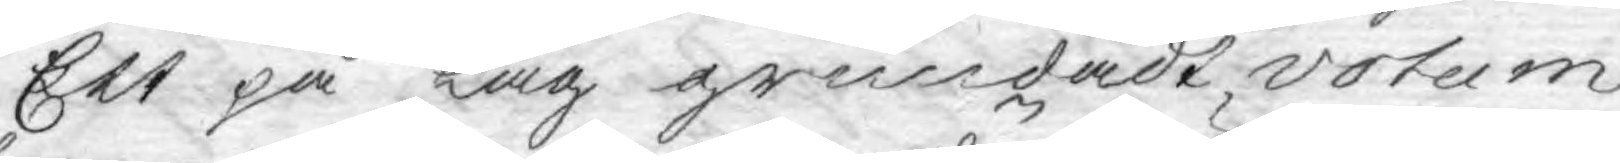Ett på lag grundadt votum
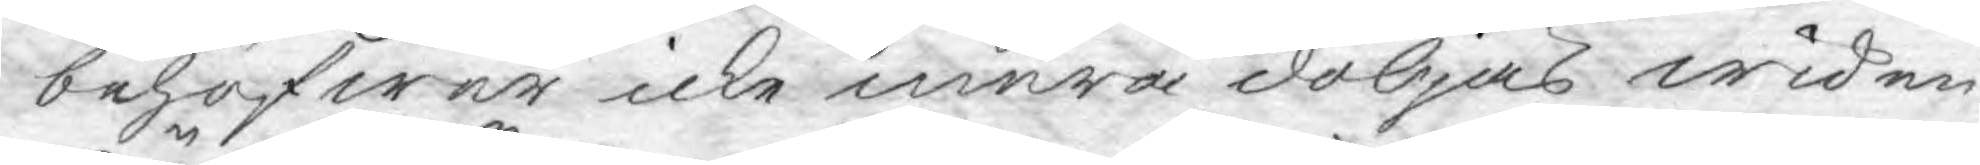behöfwer icke mera döljas wid en
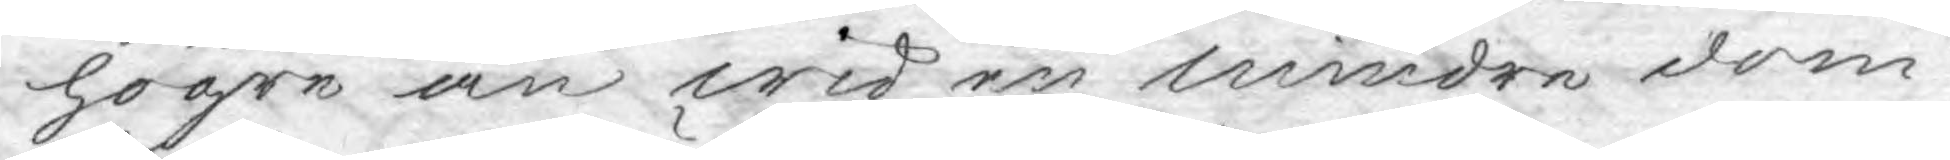högre än wid en mindre dom¬
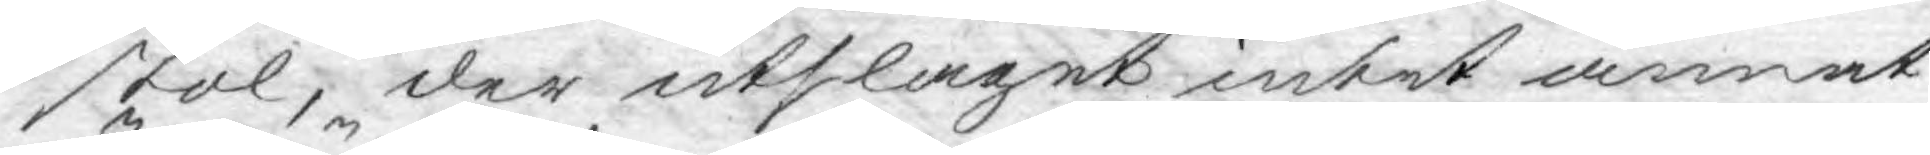stol; der utslaget intet annat
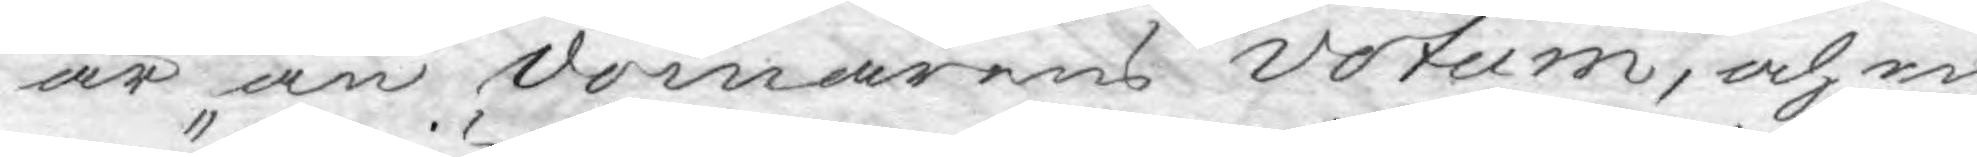är än domarens votum, och en
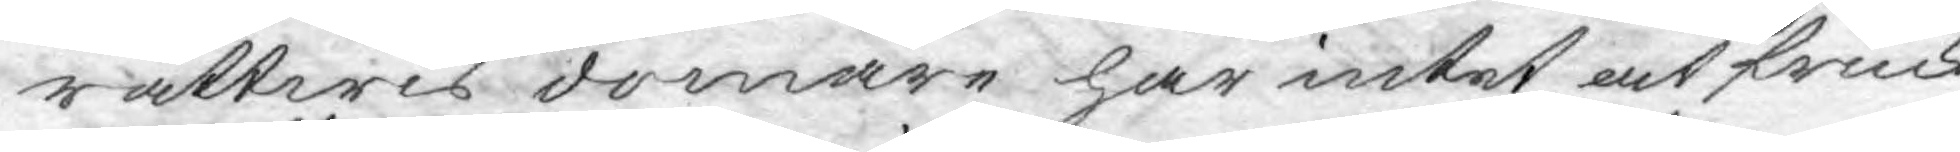rättwis domare har intet at fruck¬
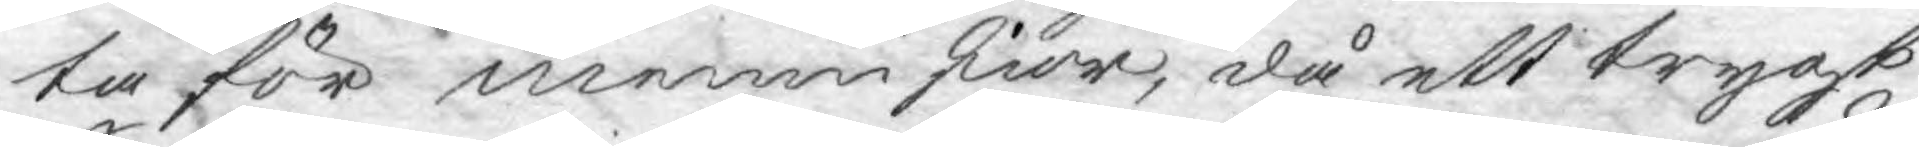ta för menneskior, då ett trygt
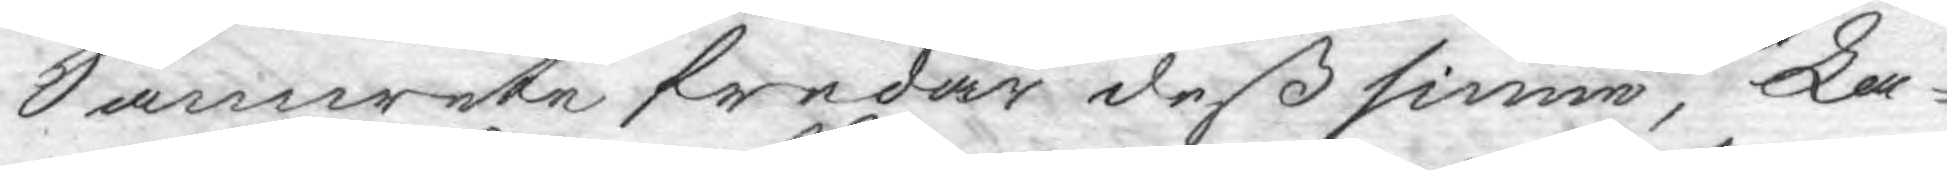Samwete fredar deß sinne, La¬
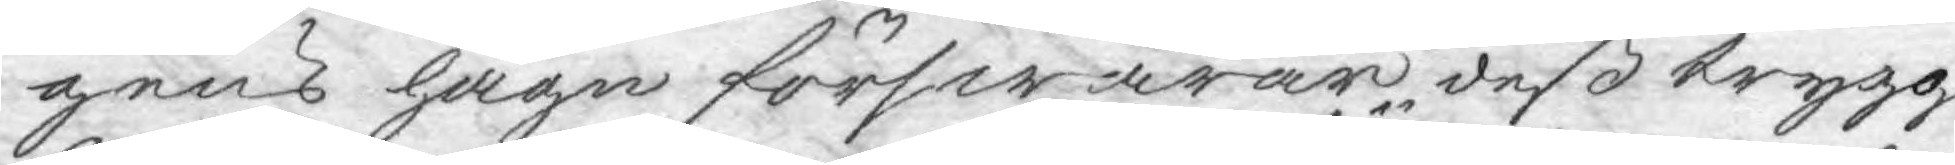gens hägn förswarar deß trygg¬
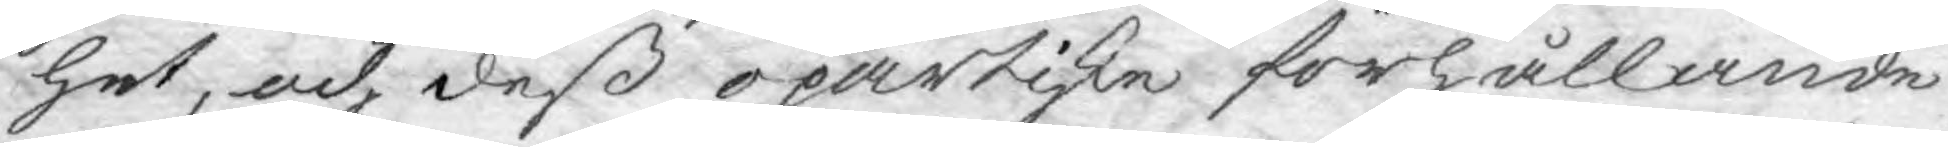het, och dess opartiske förhållande
